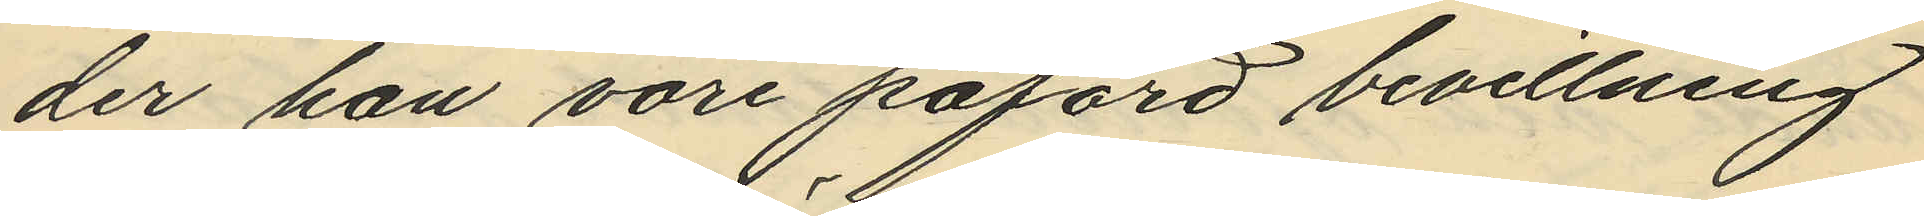der han vore påförd bevillning
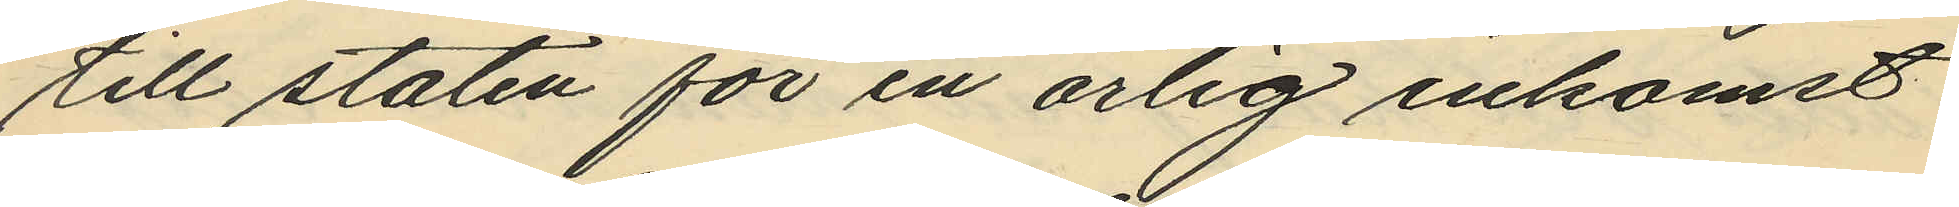till staten för en årlig inkomst
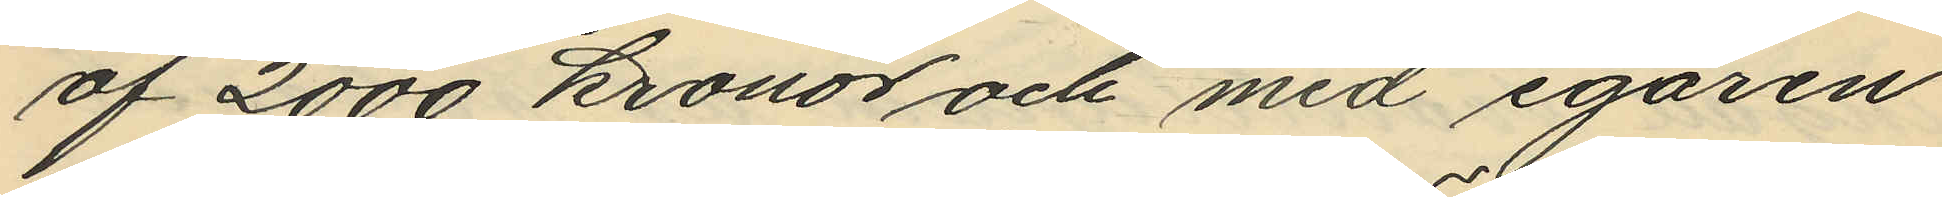af 2000 kronor och med egaren
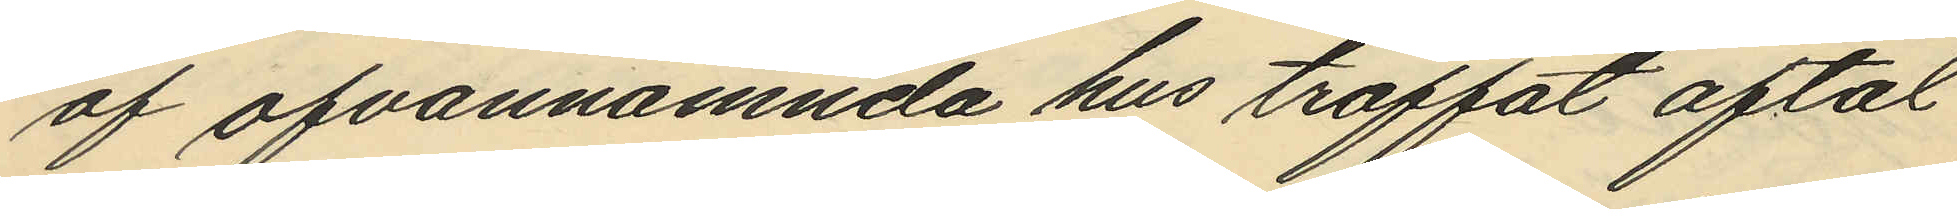af ofvannämnda hus träffat aftal
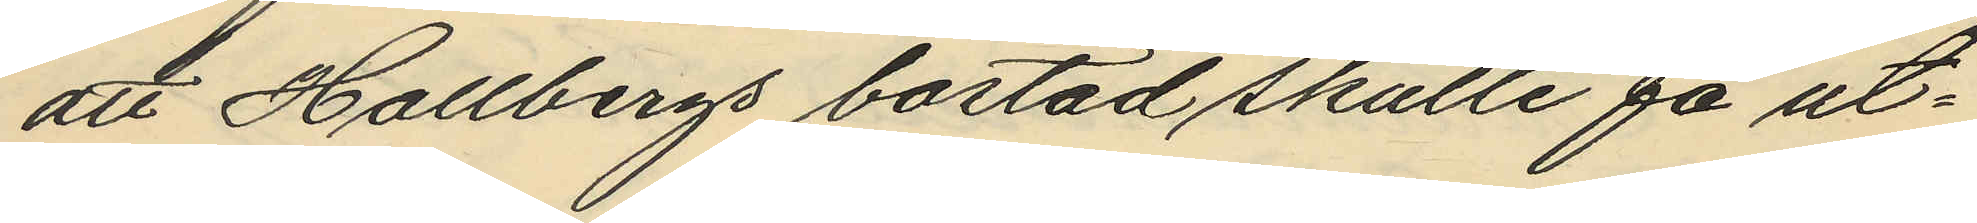att Hallbergs bostad skulle få ut¬
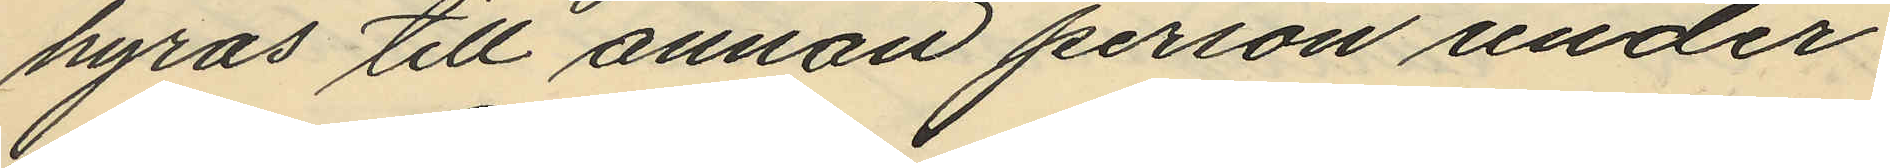hyras till annan person under
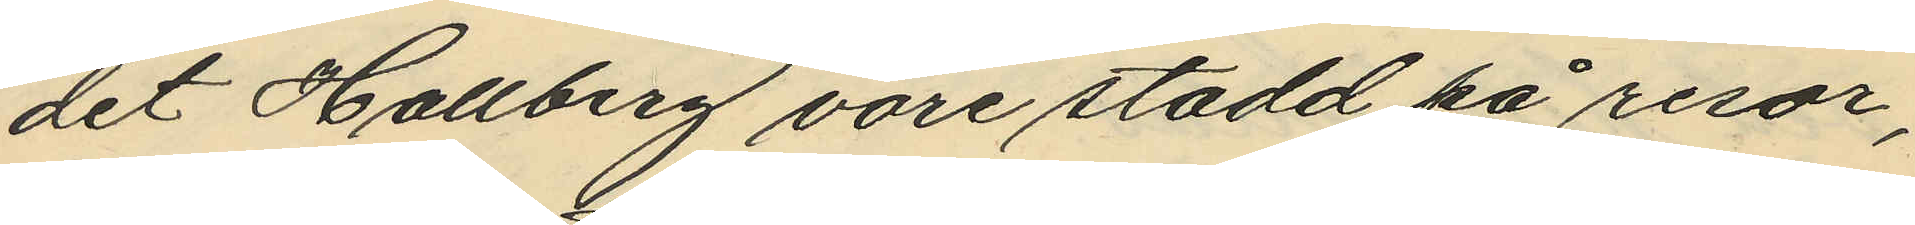det Hallberg vore stadd på resor,
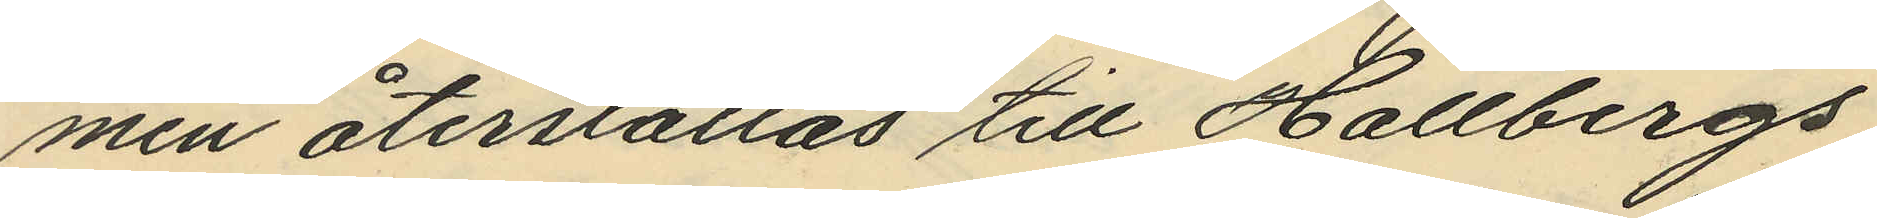men återställas till Hallbergs
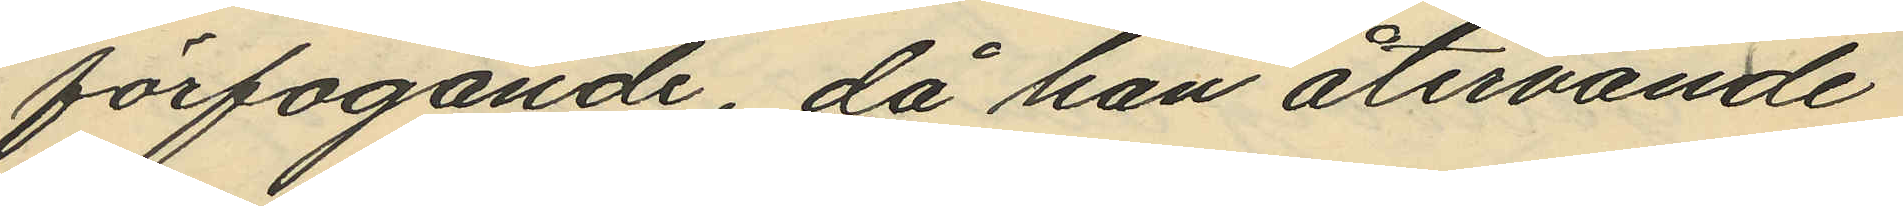förfogande, då han återvände
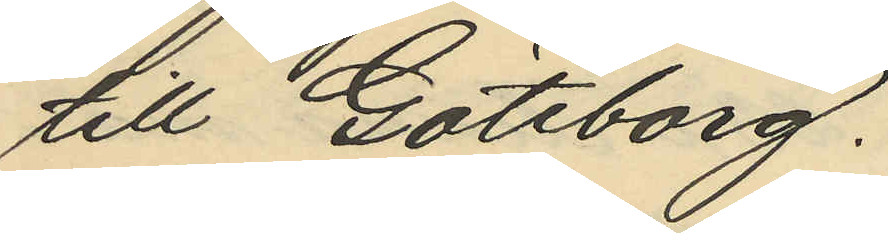till Göteborg.
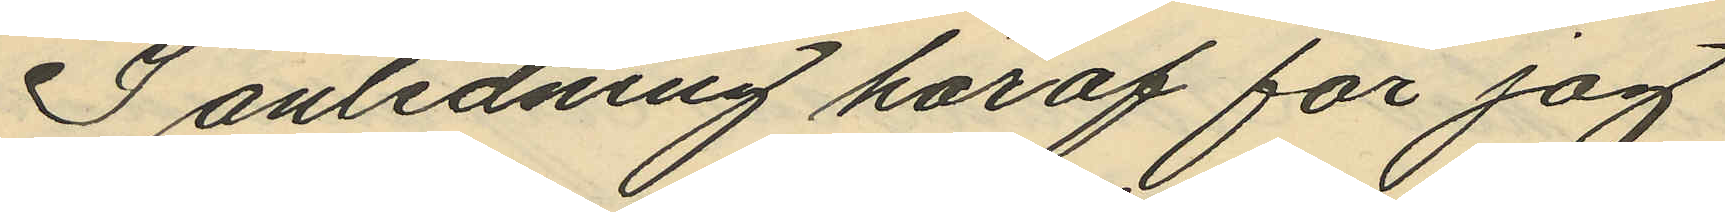I anledning häraf får jag
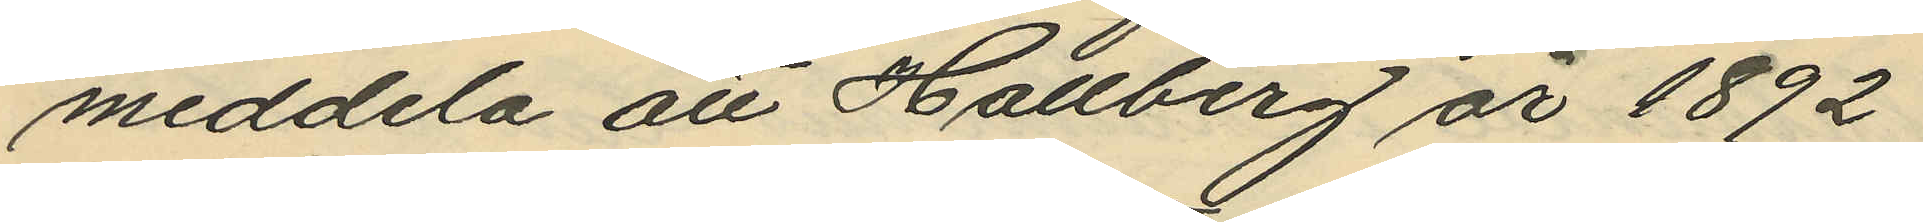meddela att Hallberg år 1892
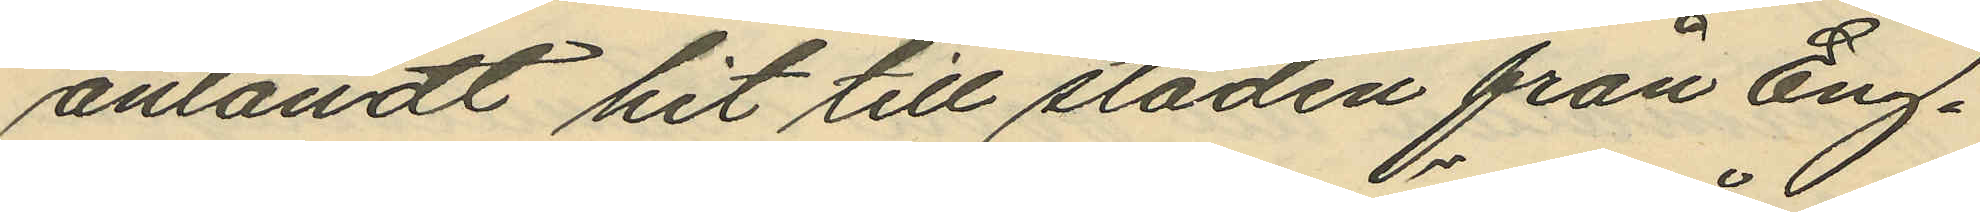anländt hit till staden från Eng¬
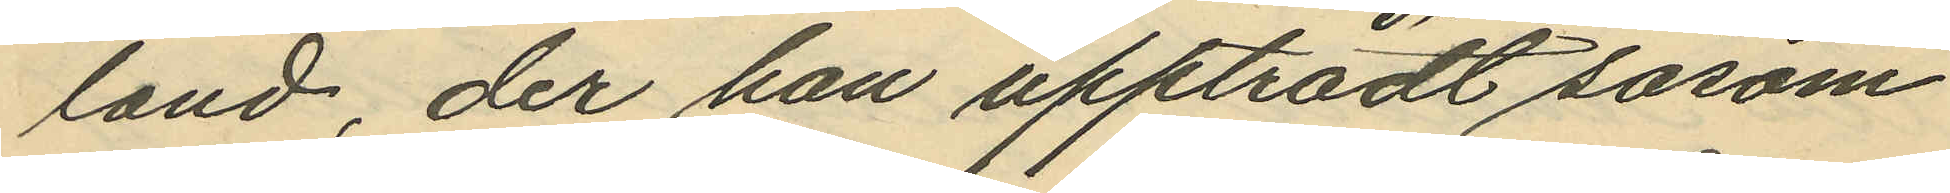land, der han uppträdt såsom
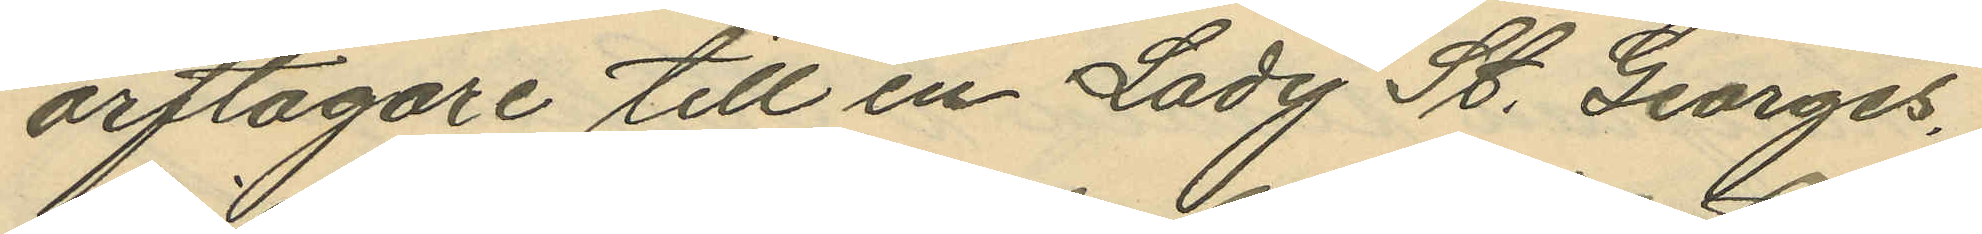arftagare till en Lady St. Georges,
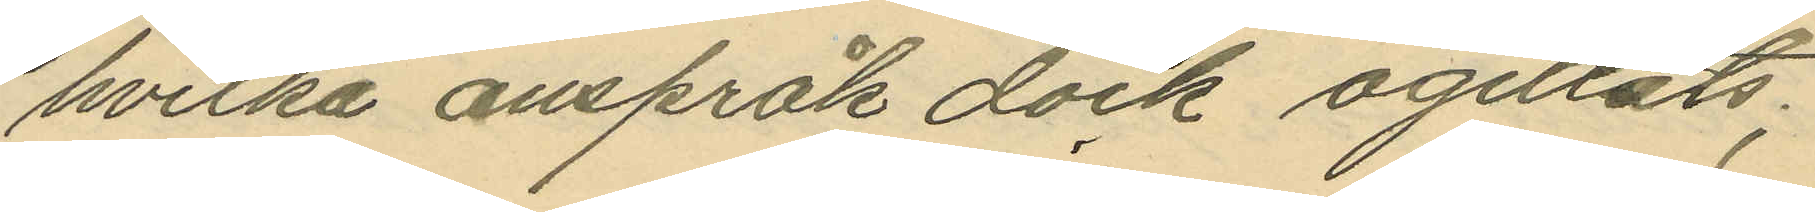hvilka anspråk dock ogillats;
